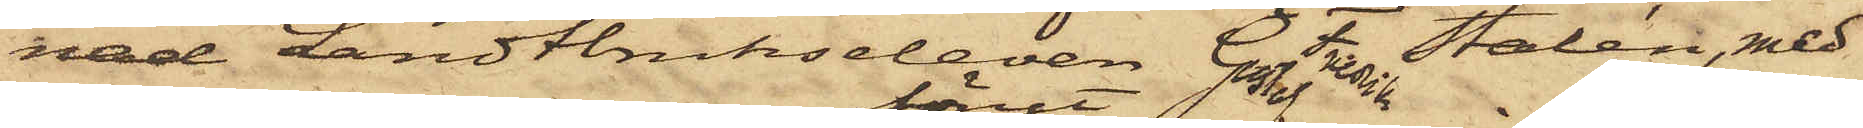nad Landtbrukseleven Gustaf Stalén, med
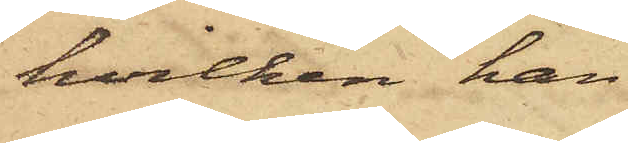hvilken han
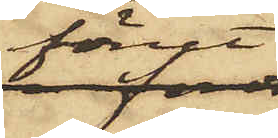förut
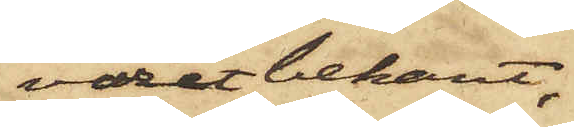varit bekant,
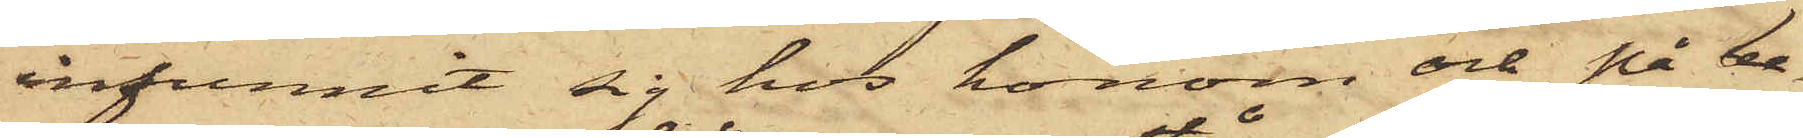infunnit sig hos honom och på be¬
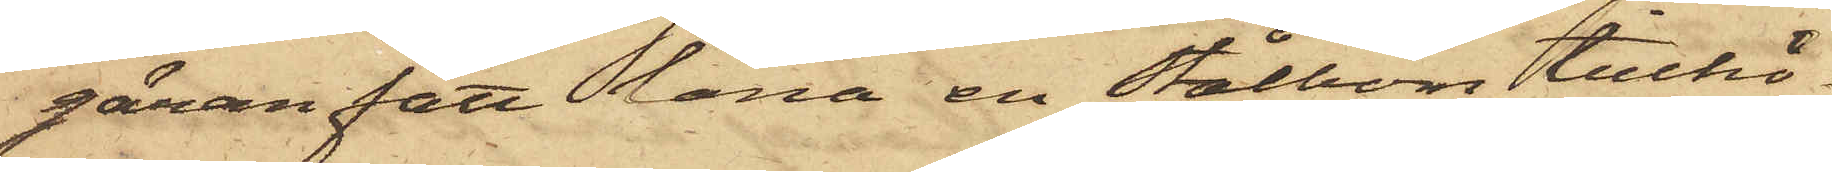gäran fått låna en Stålbom tillhö¬
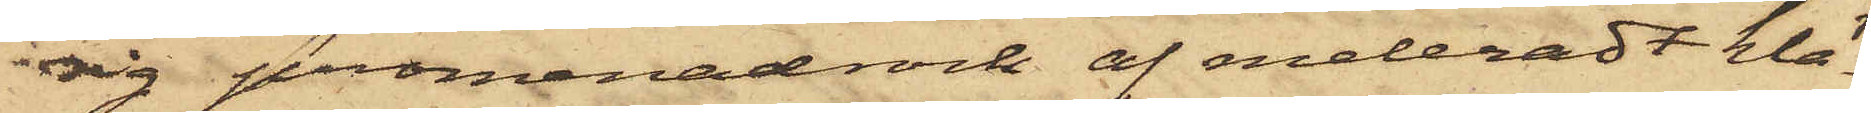rig promenadrock af meleradt klä¬
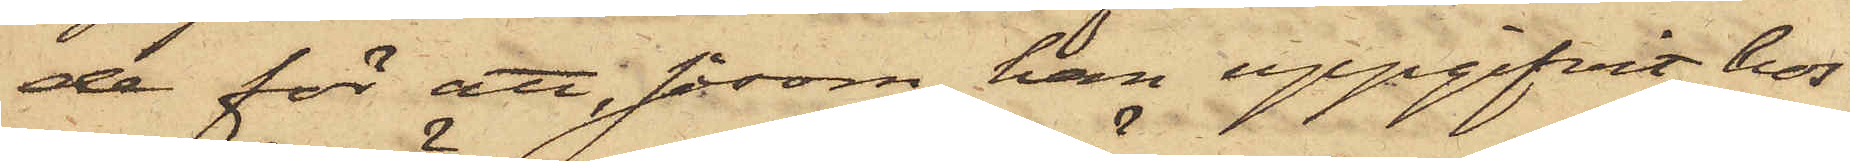de för att, såsom han uppgifvit, hos
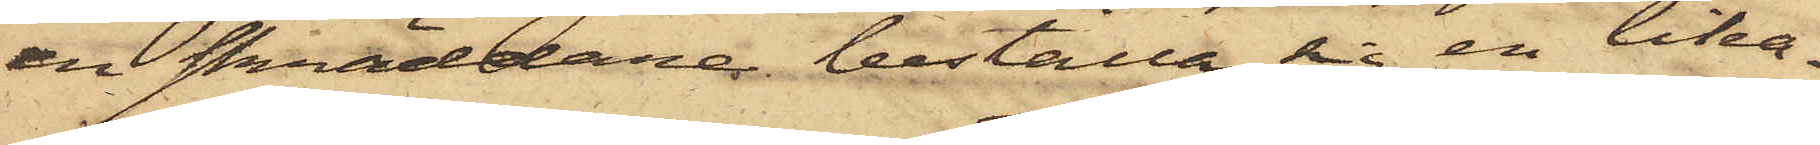en skräddaren beställa sig en lika¬
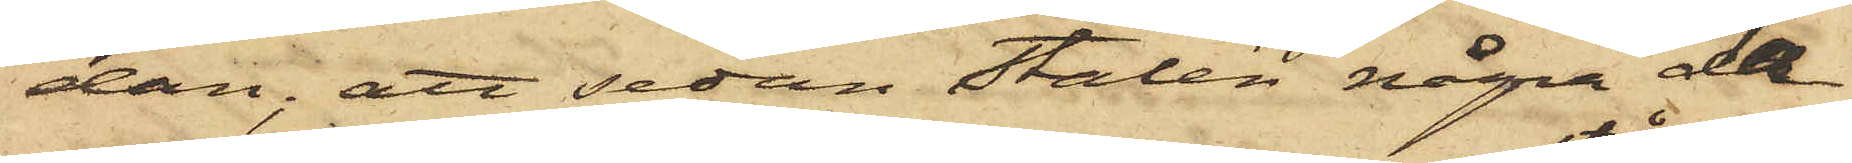dan; att sedan Stalén några da¬
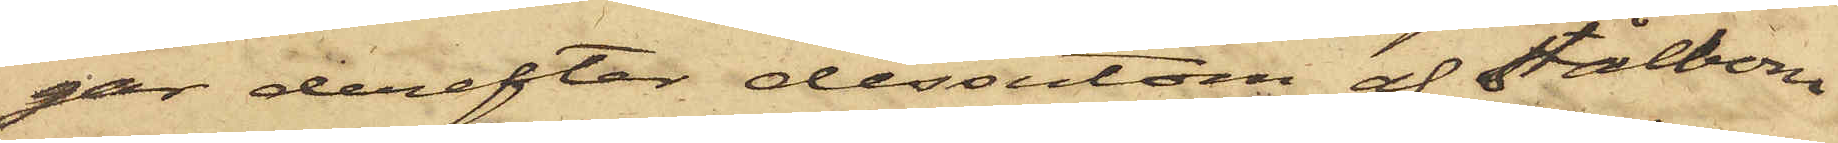gar derefter dessutom af Stålbom
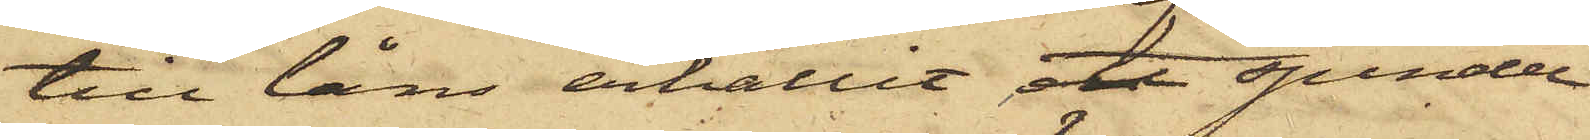till låns erhållit ett spindel¬
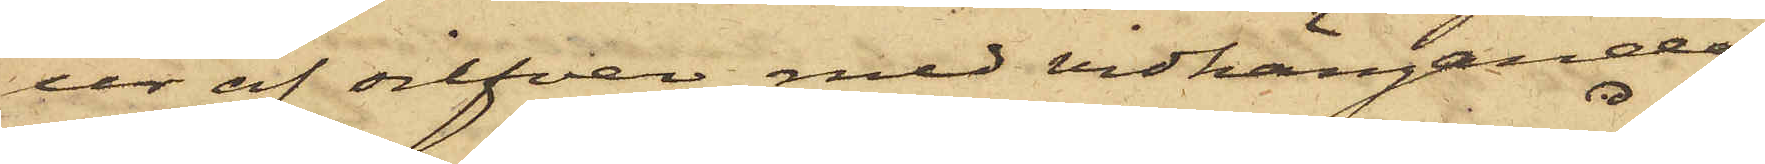ur af silfver med vidhängande
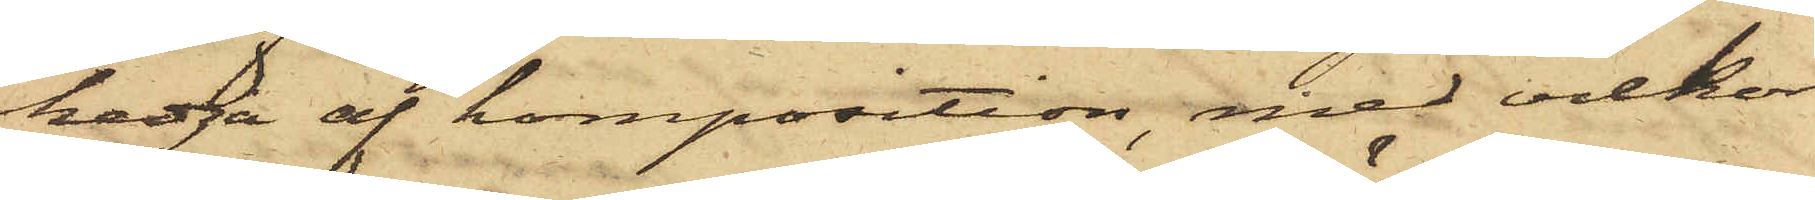kedja af komposition, med vilkor
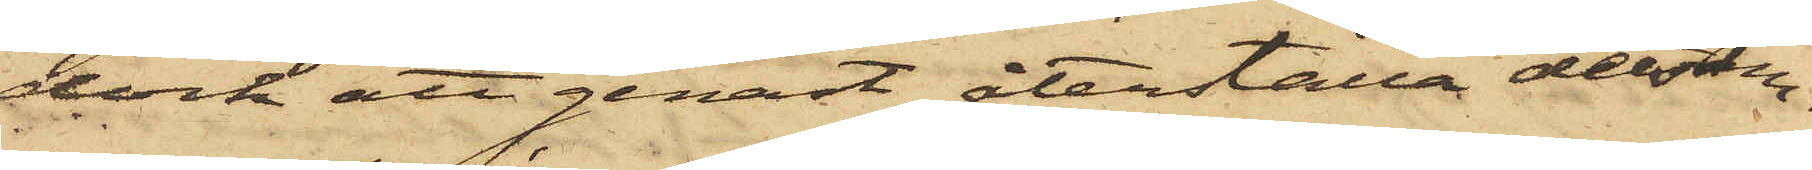dock att genast återställa detsam¬
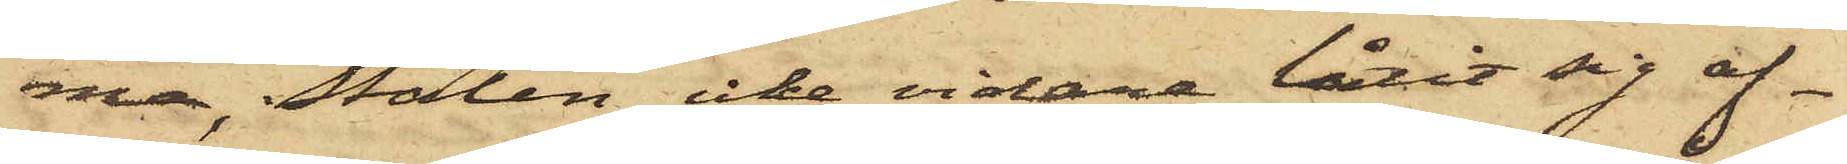ma, Stalén icke vidare låtit sig af¬
